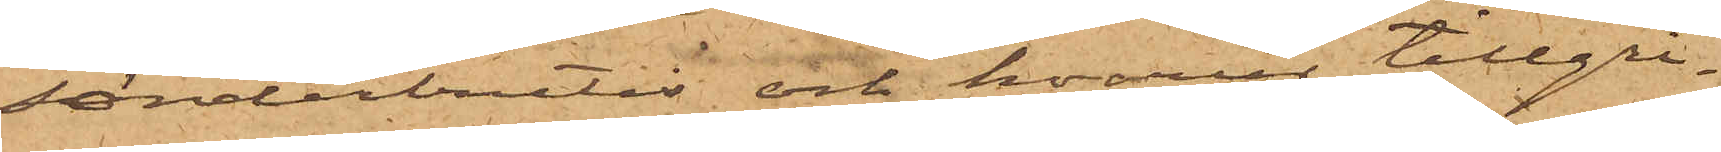sönderbrutis och hvarur tillgri¬
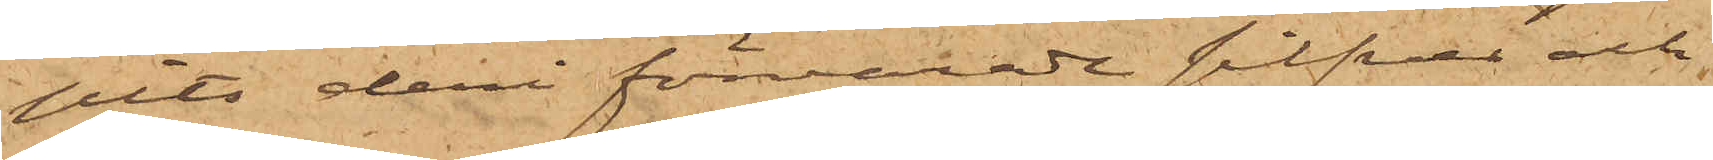pits deri förvarade silfver och
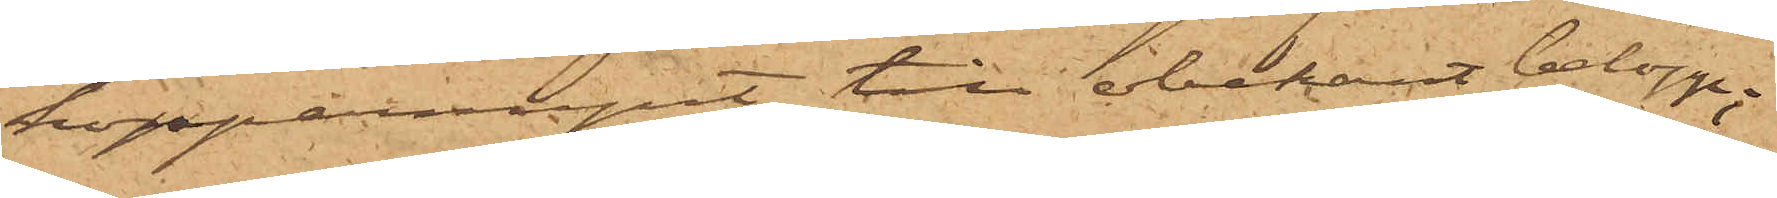kopparmynt till obekant belopp;
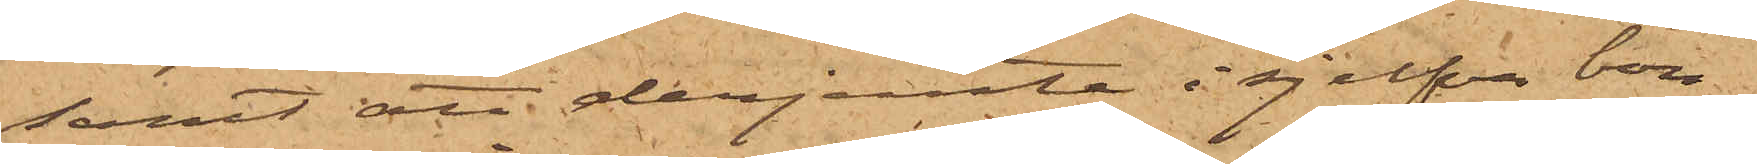samt att derjemte i sjelfva bou¬
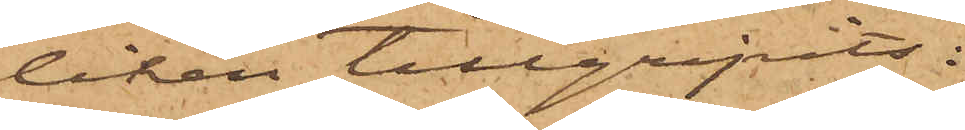tiken tillgripits:
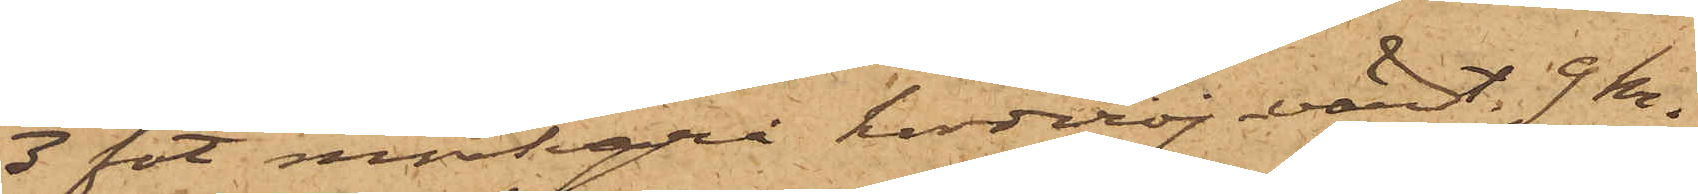3 fot mörkgrå korderoj värdt 9 kr.
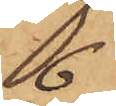6
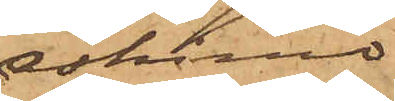eskimo
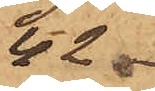42
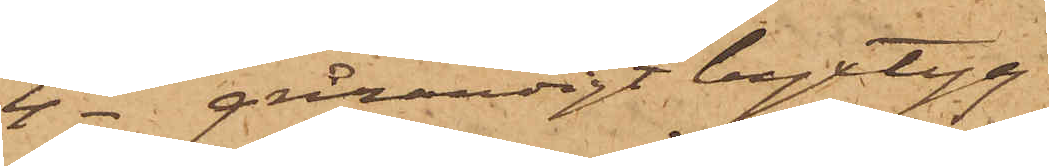4 - grårandigt byxtyg
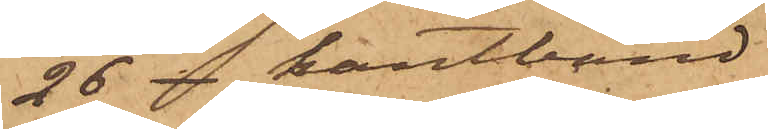26 - kantband
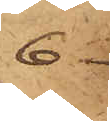6
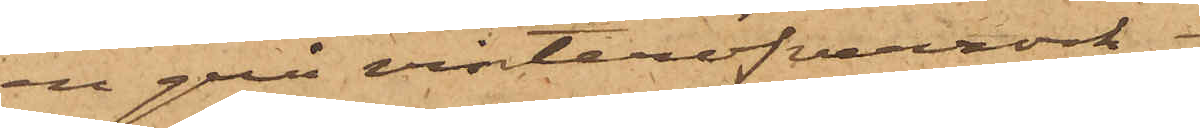en grå vinteröfverrock
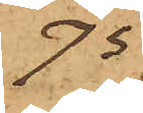75
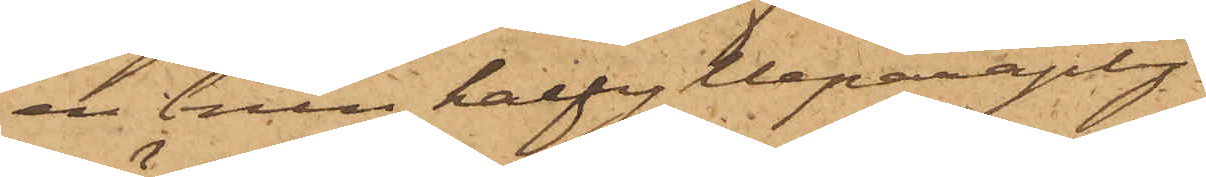en brun halfylleparaply
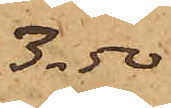3.50
